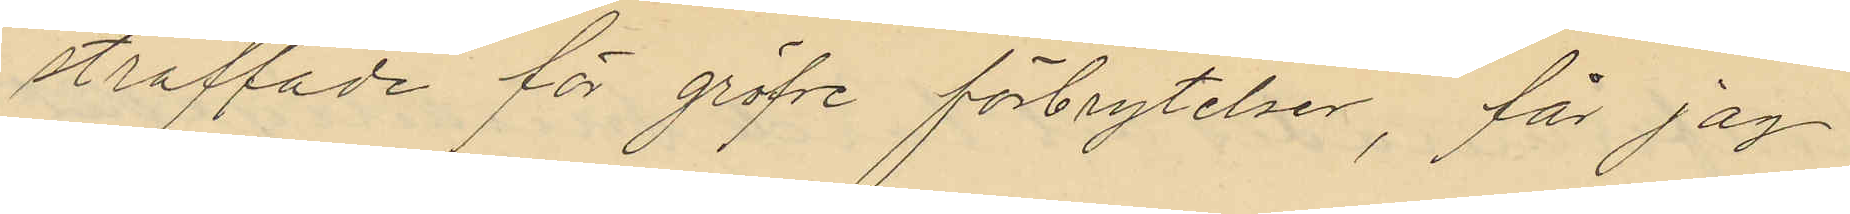straffade för gröfre förbrytelser, får jag
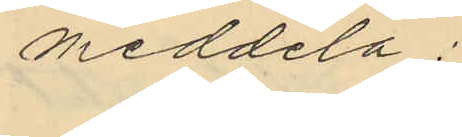meddela:
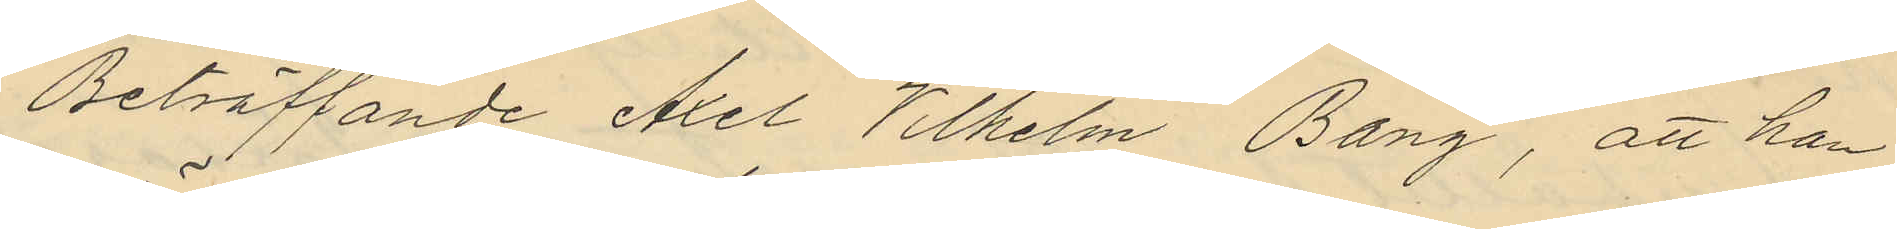Beträffande Axel Vilhelm Bang, att han
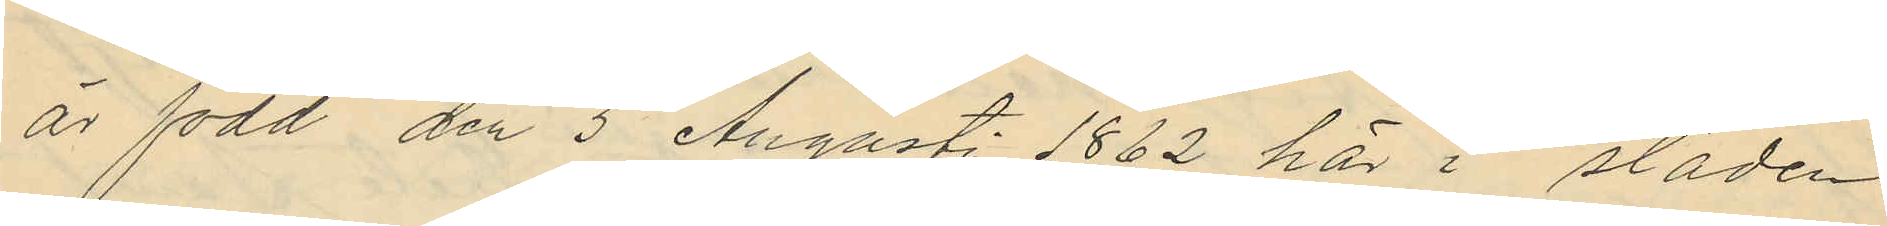är född den 5 Augusti 1862 här i staden
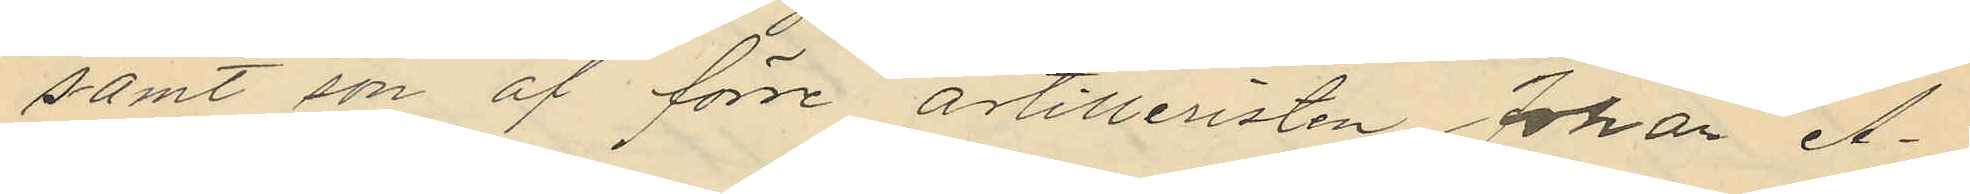samt son af förre artilleristen Johan A¬
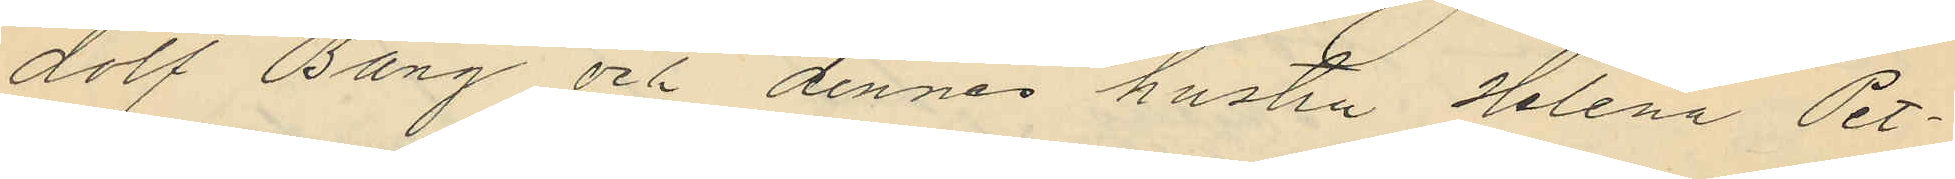dolf Bang och dennes hustru Helena Pet¬
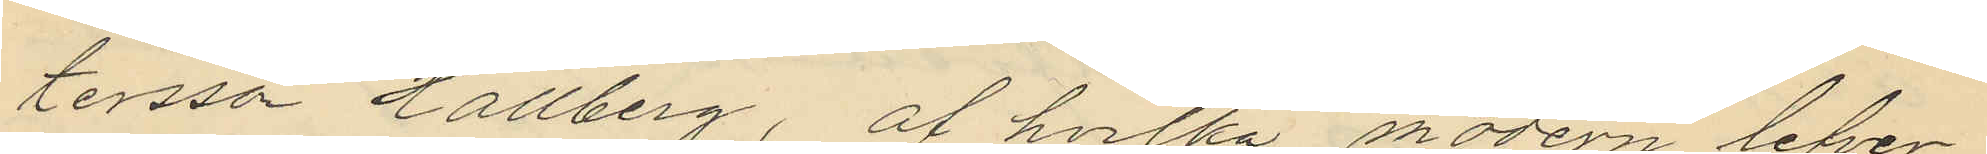tersson Hallberg, af hvilka modern lefver
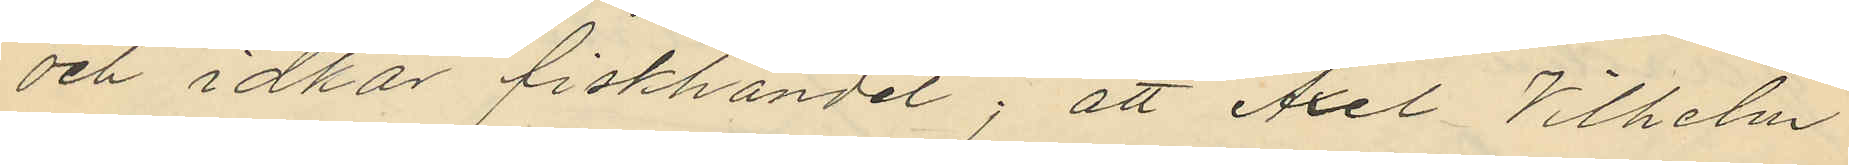och idkar fiskhandel; att Axel Vilhelm
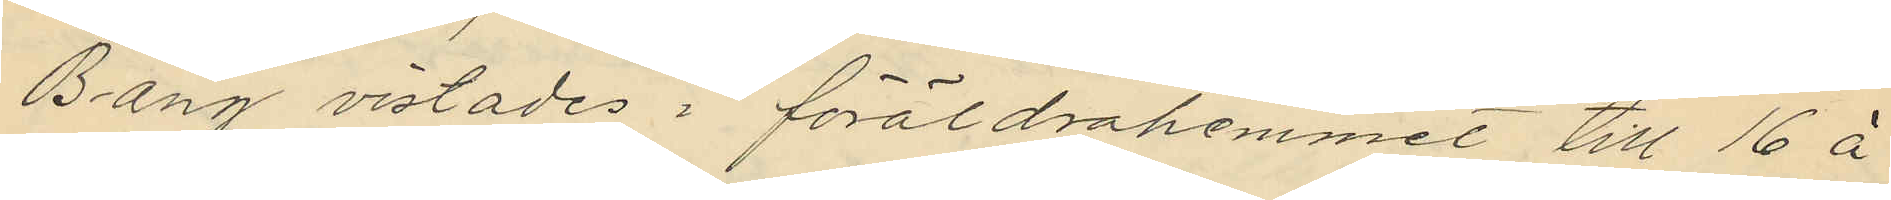Bang vistades i föräldrahemmet till 16 á
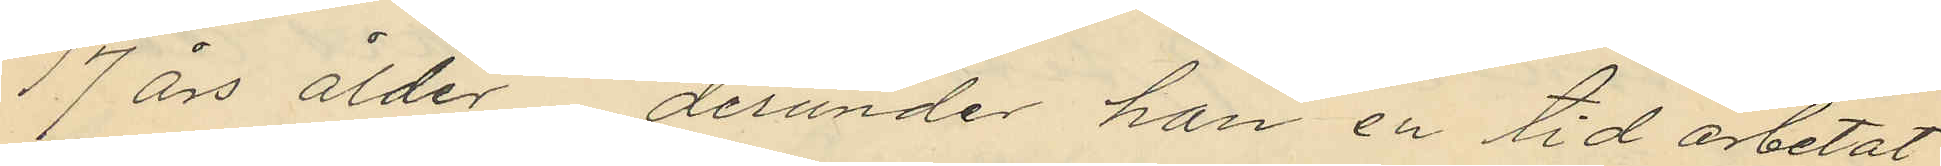17 års ålder derunder han en tid arbetat
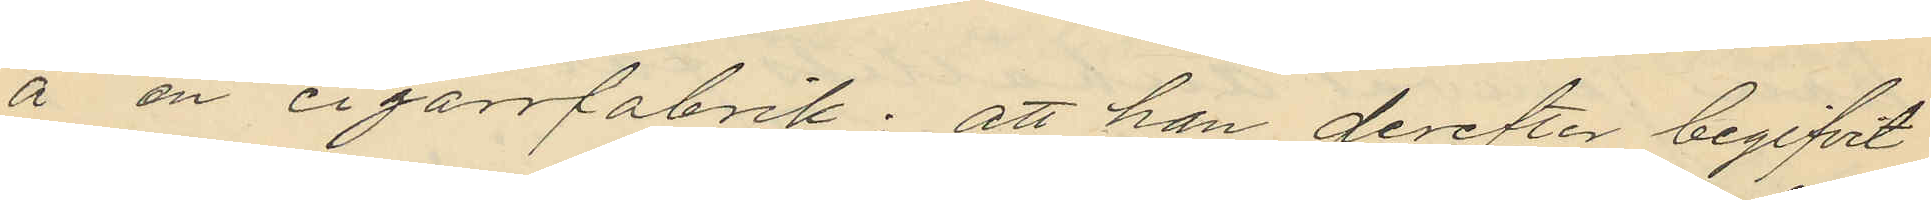å en cigarrfabrik; att han derefter begifvit
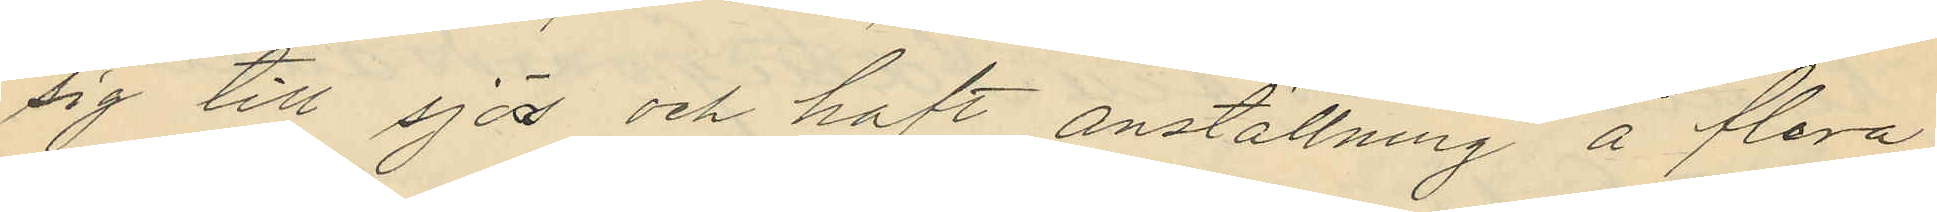sig till sjös och haft anställning å flera
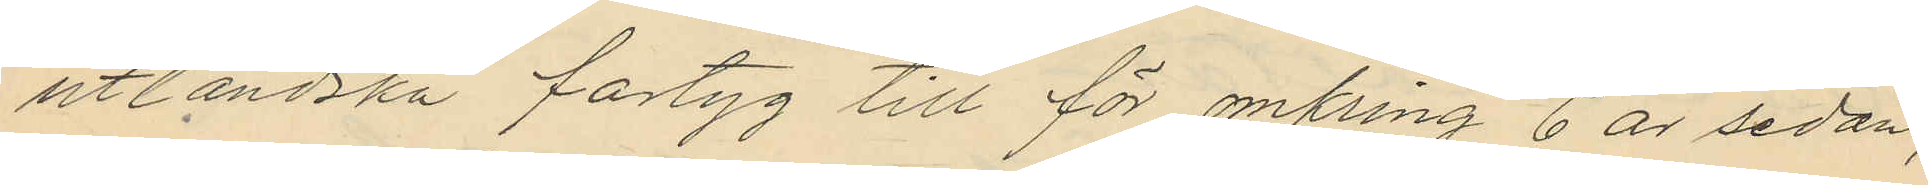utländska fartyg till för omkring 6 år sedan,
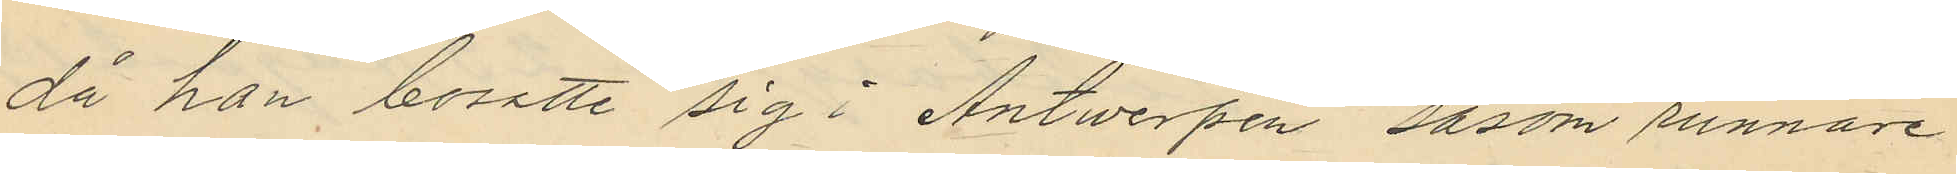då han bosatte sig i Antwerpen såsom runnare
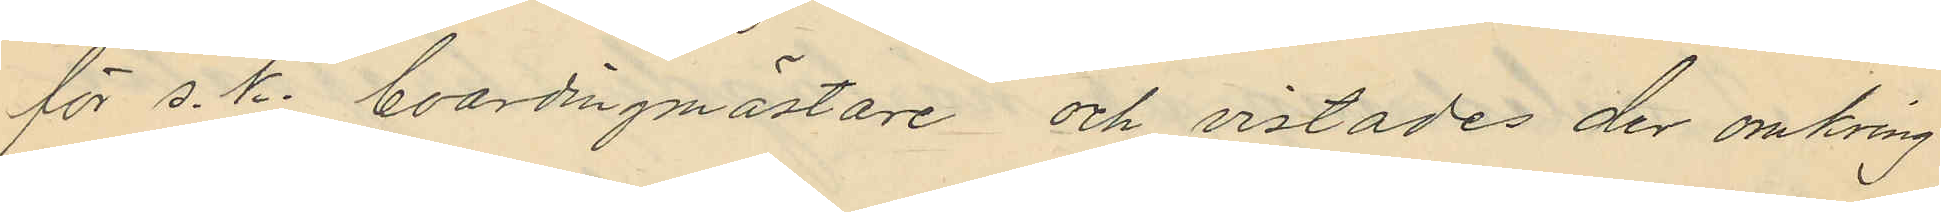för s.k. boardingmästare och vistades der omkring
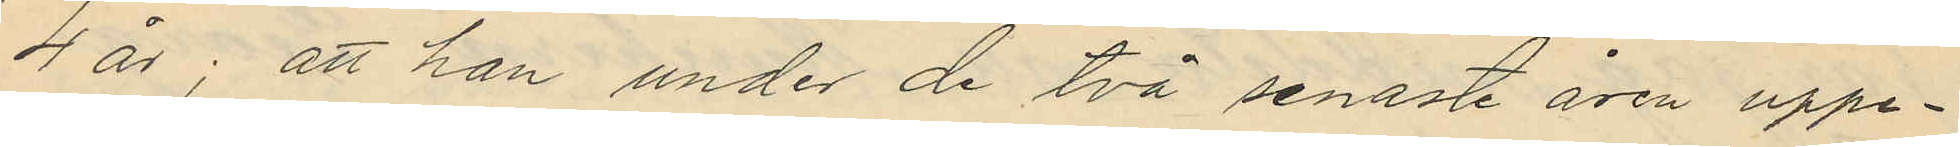4 år; att han under de två senaste åren uppe¬
